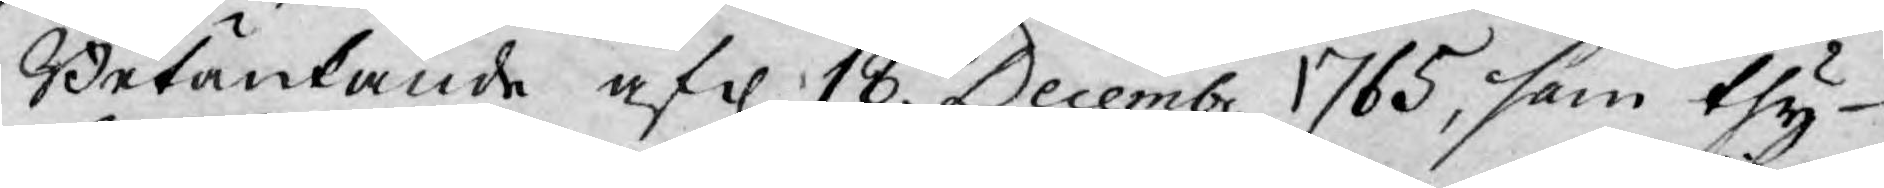Betänkande af d 18. Decembr 1765, som thy
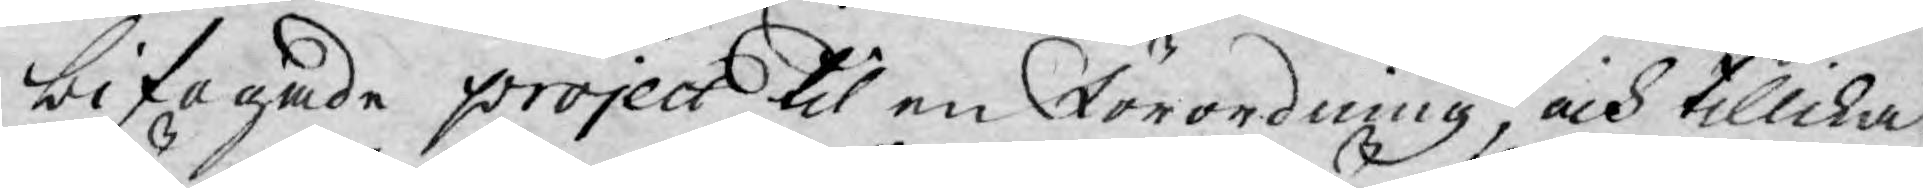bifogade project til en Förordning, och tillika
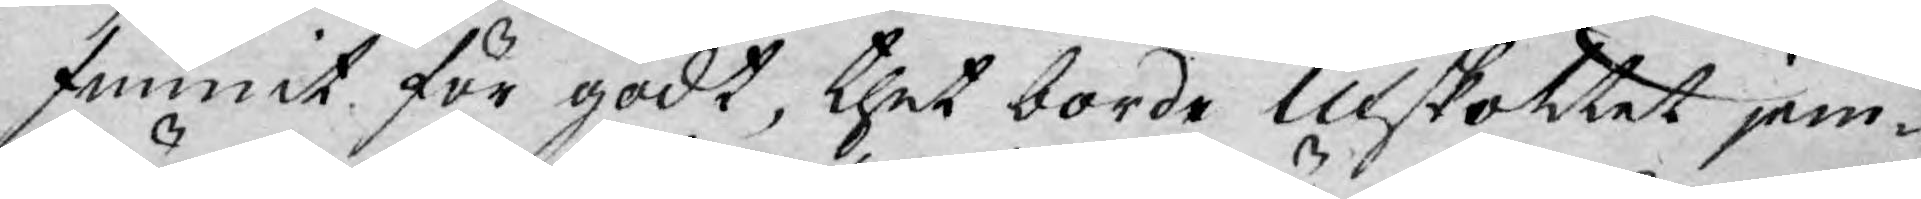funnit för godt, thet borde Utskottet jem¬
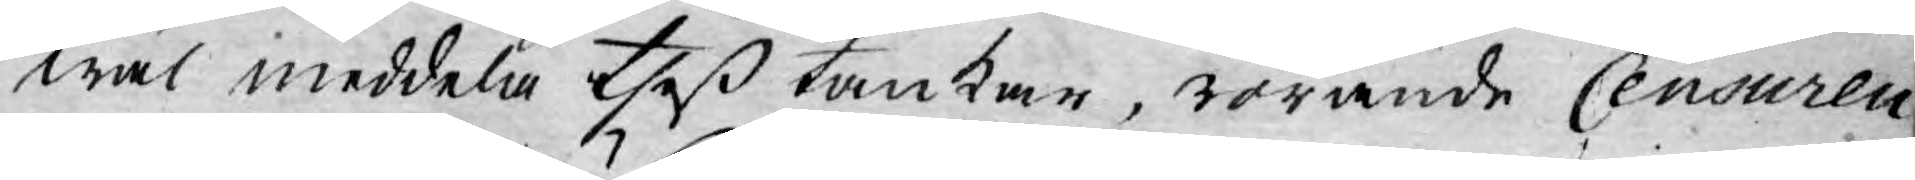wäl meddela theß tankar, rörande Censuren
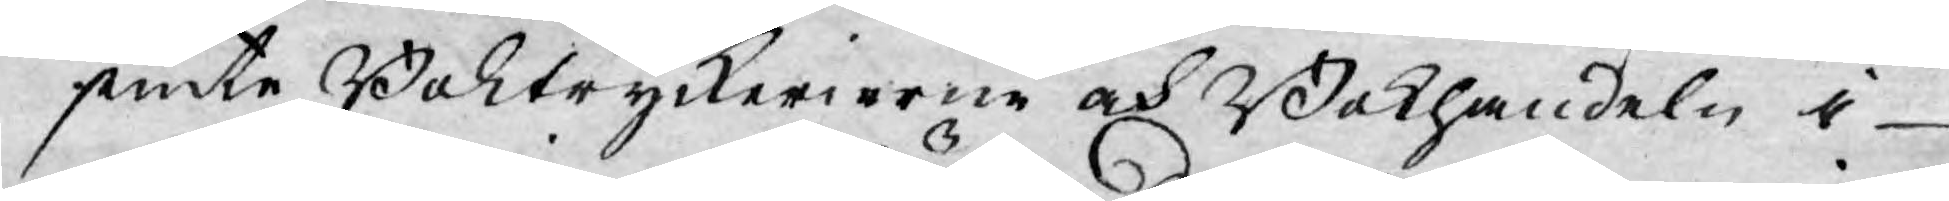jemte Boktryckerierne och Bokhandeln i
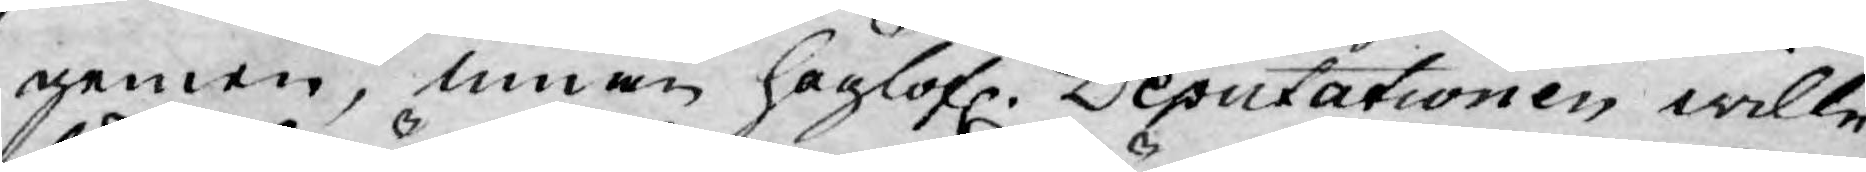gemen, innan höglofl. Deputationen wille
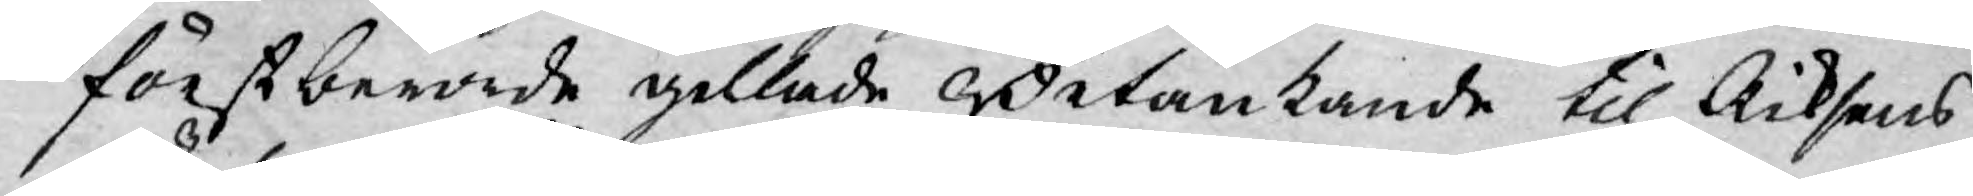först berörde gillade Betänkande til Riksens
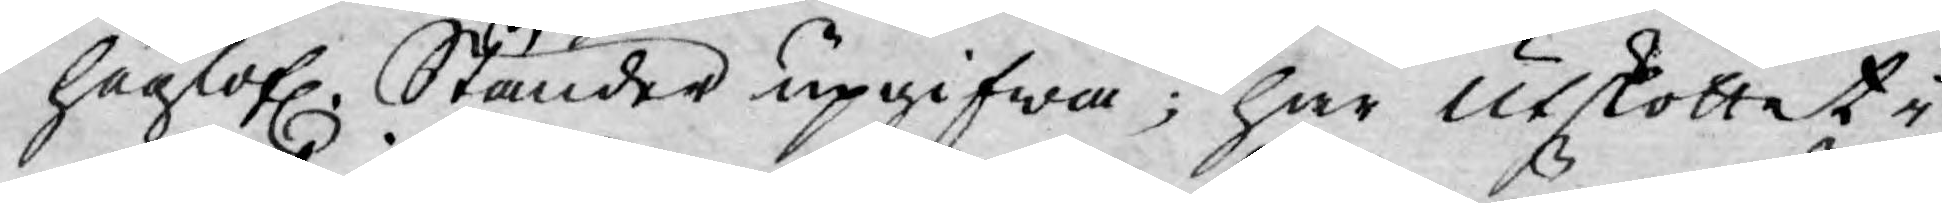höglofl. Ständer upgifwa; har utslottet i
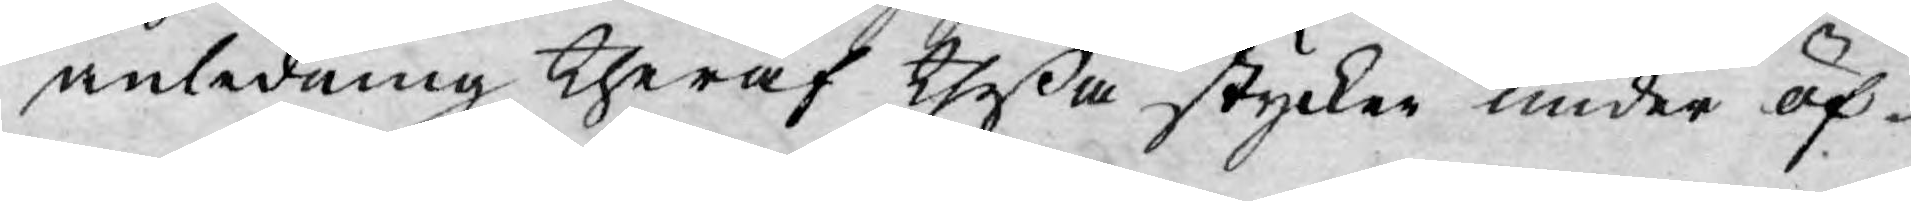anledning theraf theßa stycken under öf¬
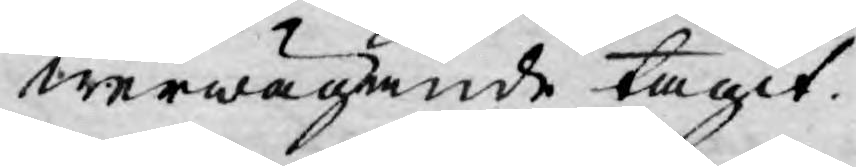werwägande tagit.
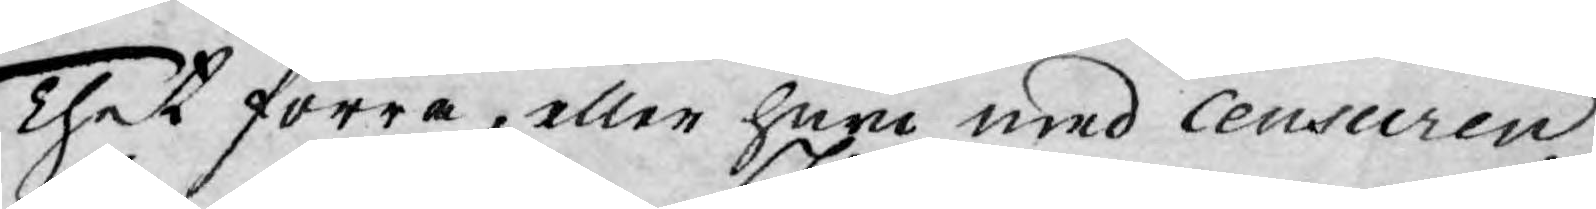Thet förra, eller huru med Censuren
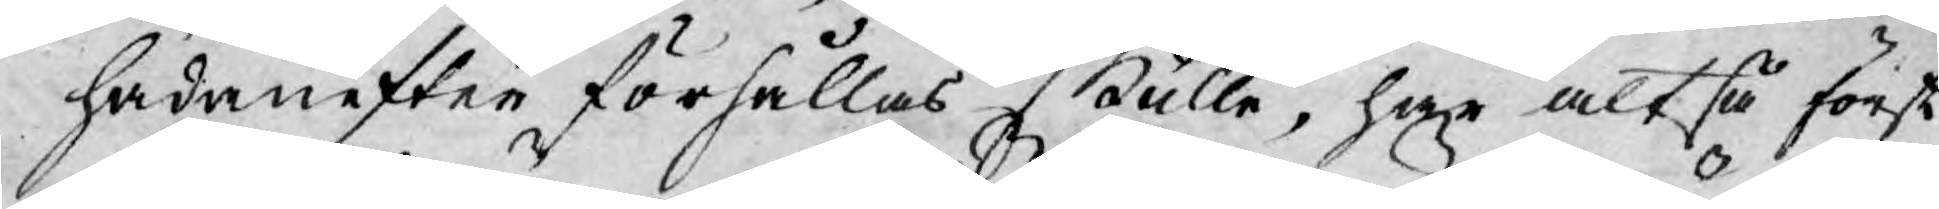hädanefter förhållas skulle, har altså först
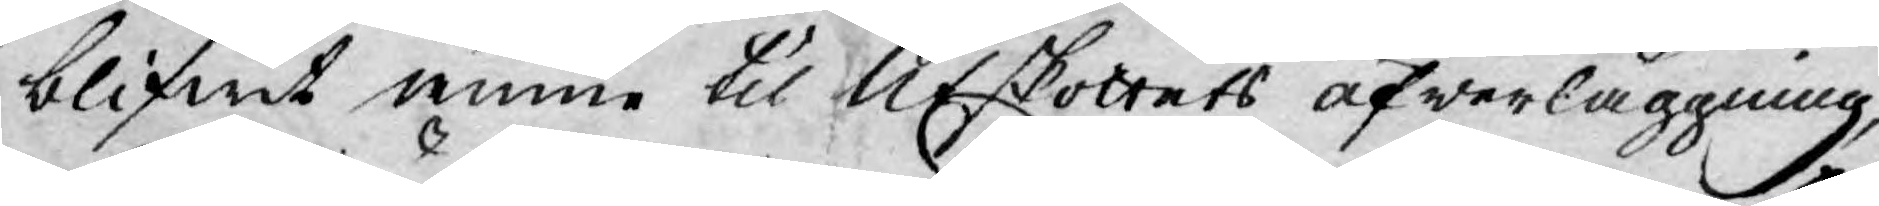blifwit ännu til Ufskottets öfwerläggning,
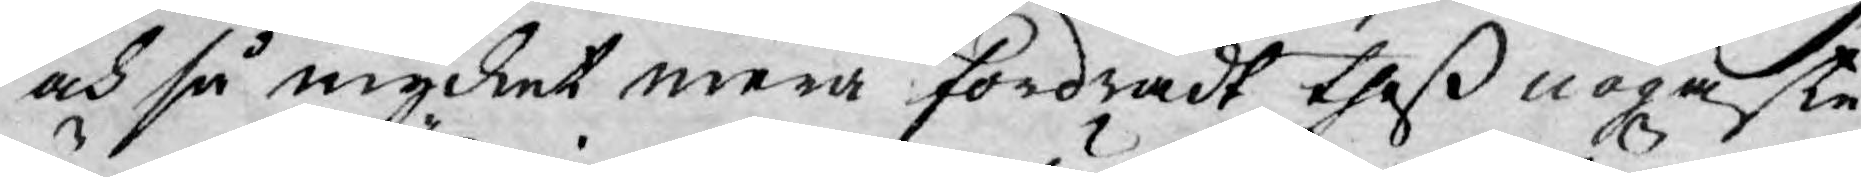och så mycket mera fordradt theß nogaste
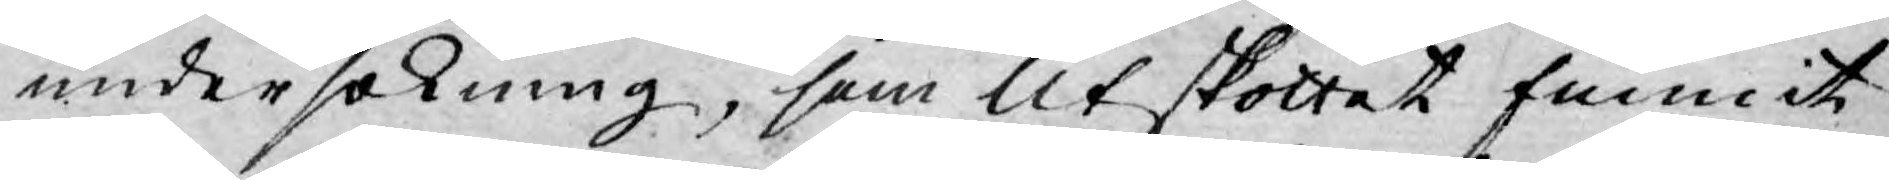undersökning, som Utskottet funnit
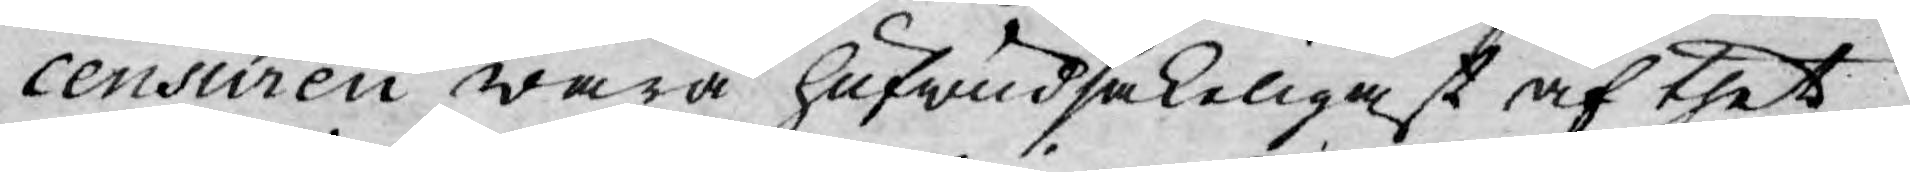censuren wara hufwudsakeligast af thet
